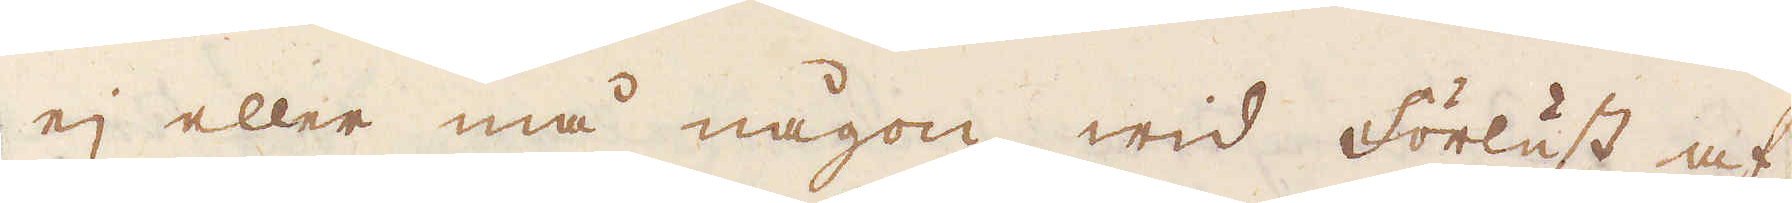ej eller må någon wid förlust af
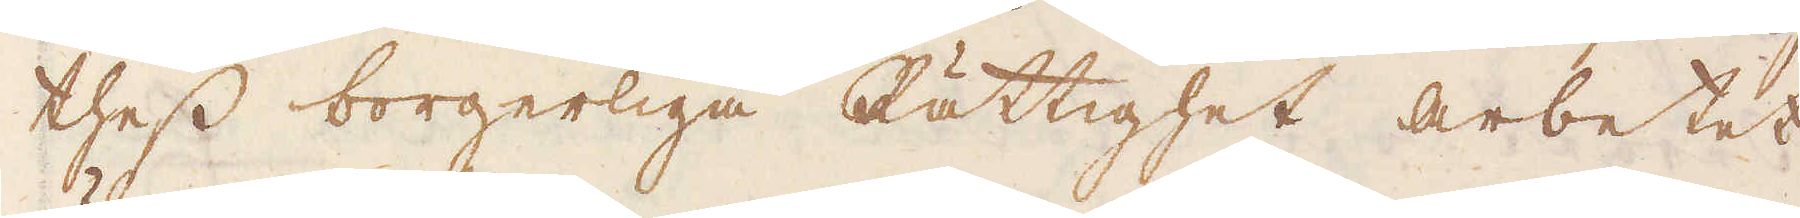thess borgerliga Rättighet arbetet
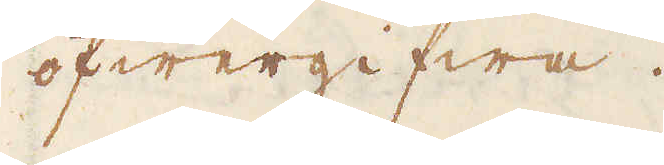öfwergifwa.
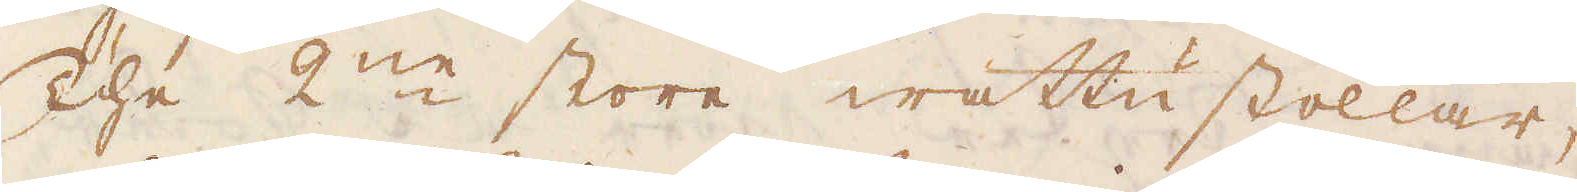The 2:ne store wattustollar,
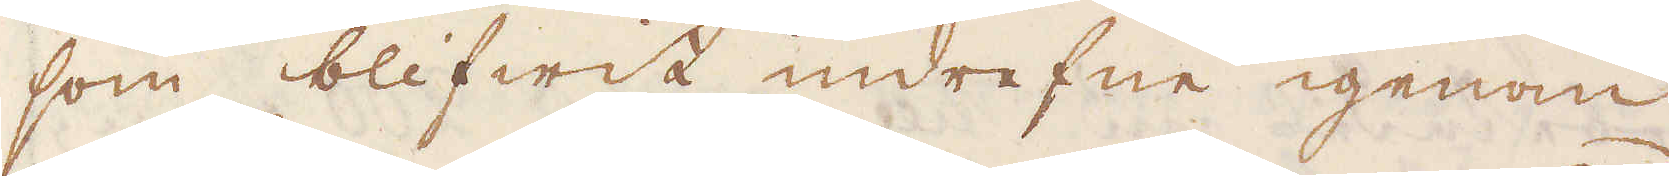som blifwit indrefne igenom
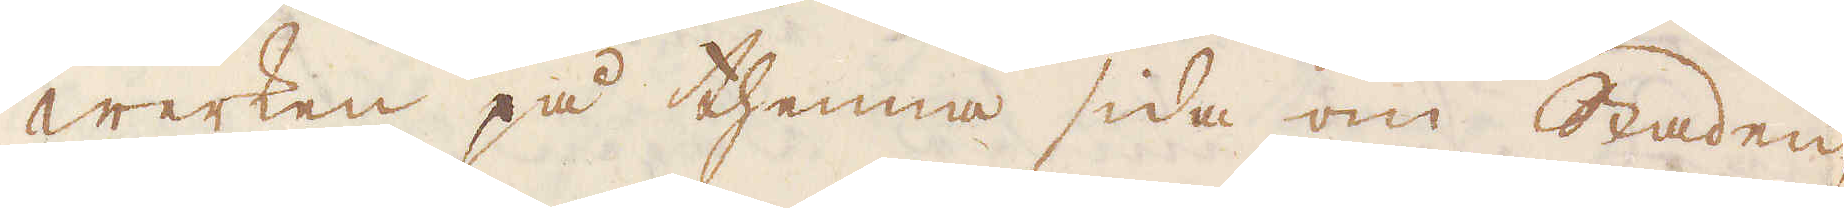Werken på thenna sida om Staden,
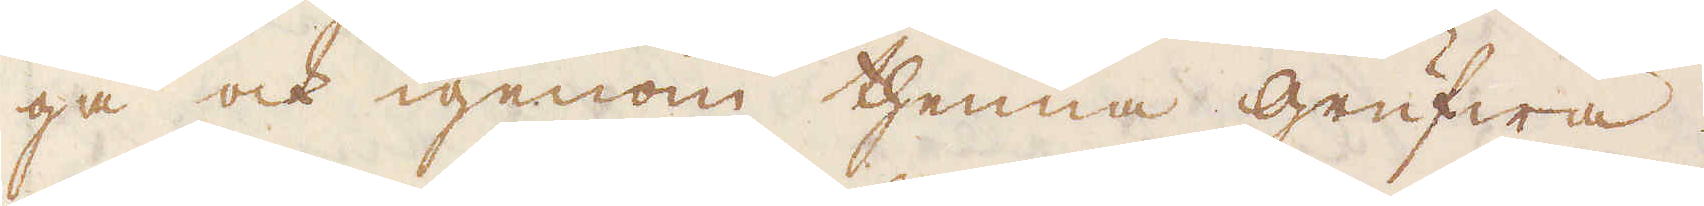gå ock igenom thenna grufwa.
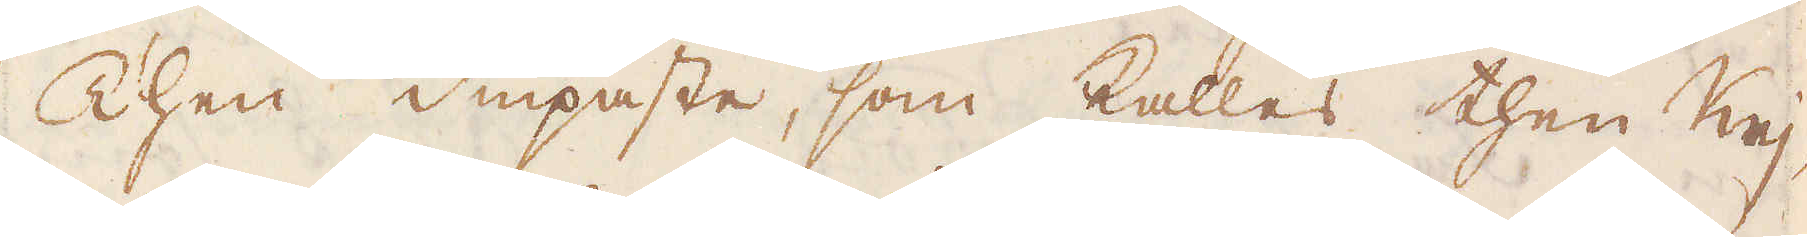Then diupaste, som kallas then Keij-
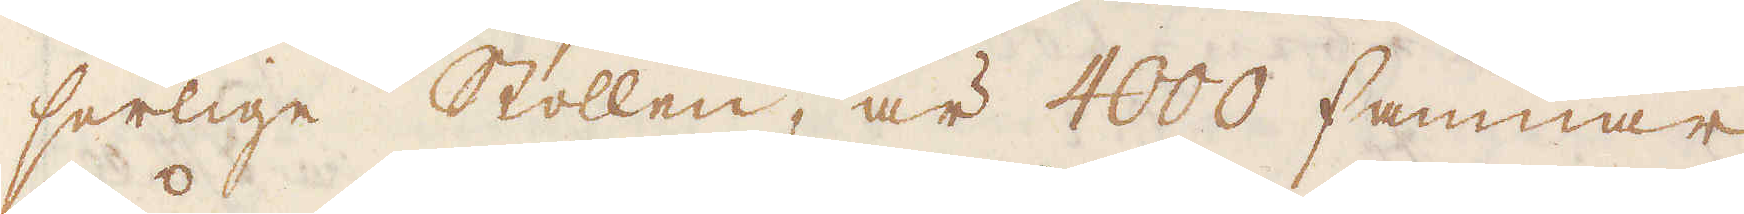serlige Stollen, är 4000 famnar
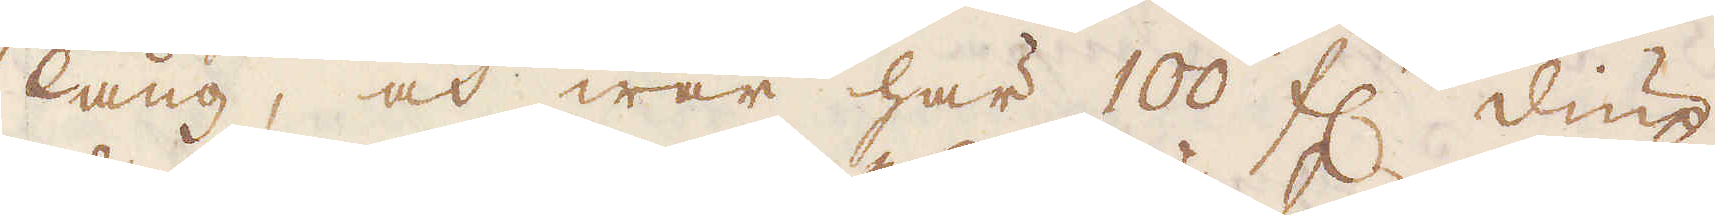lång, och war här 100 f:r diup
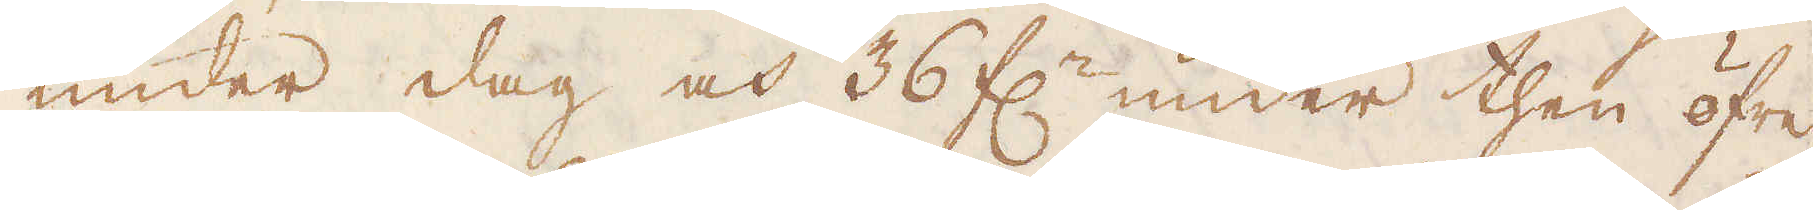under dag och 36 f:r under then öfre
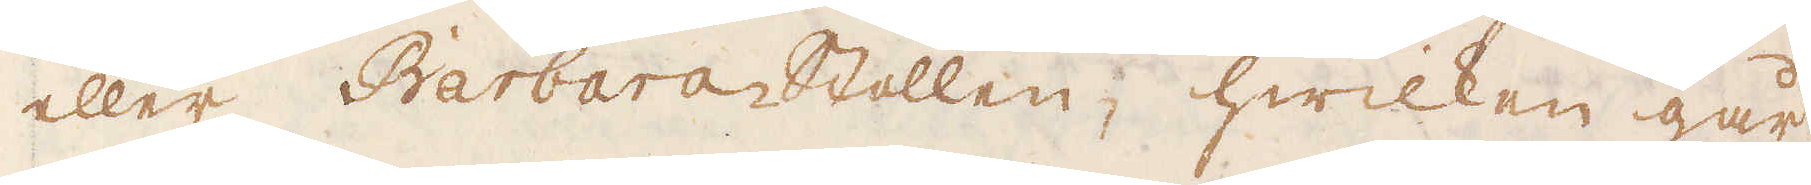eller Barbara Stollen, hwilken går
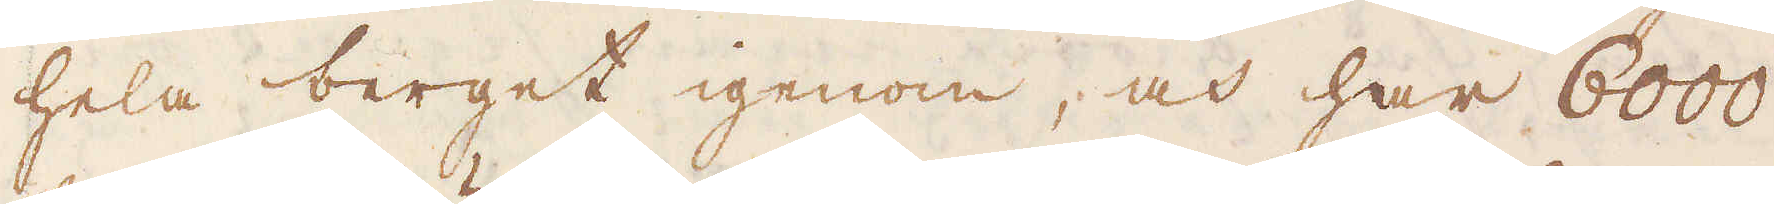hela berget igenom, och har 6000
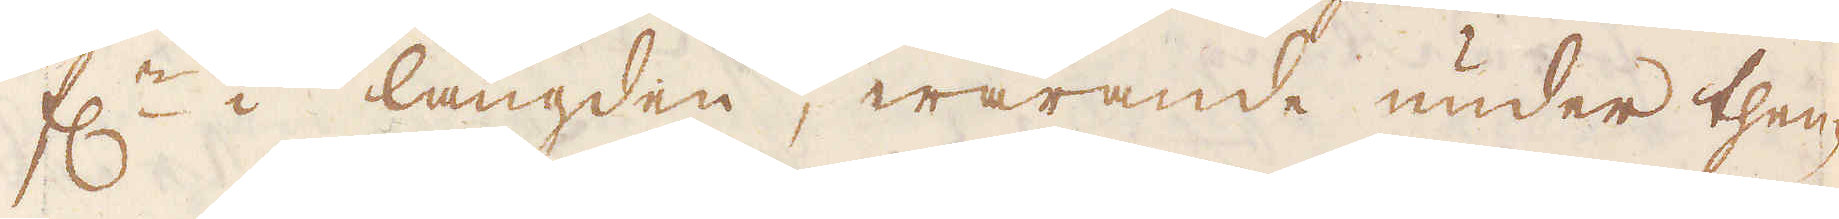f:r i längden, warande under then-
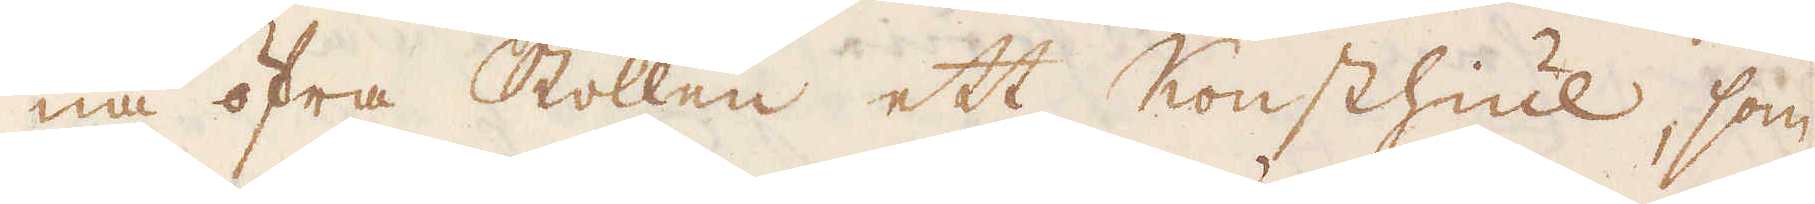na öfra Stollen ett Konsthiul, som
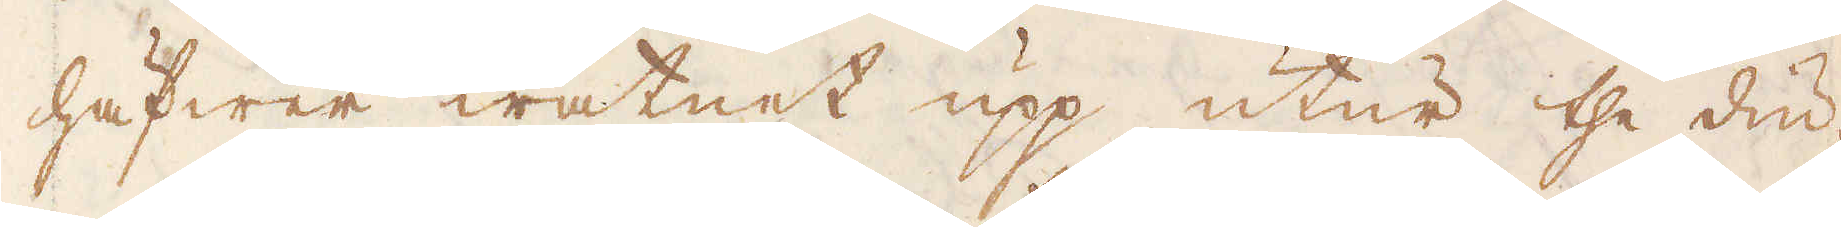häfwer watnet upp utur the diu-
